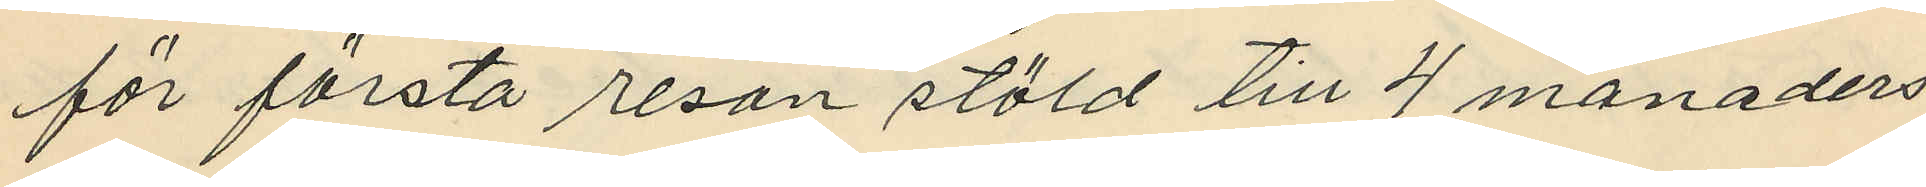för första resan stöld till 4 månaders
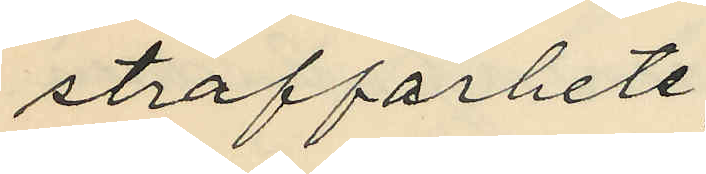straffarbete,
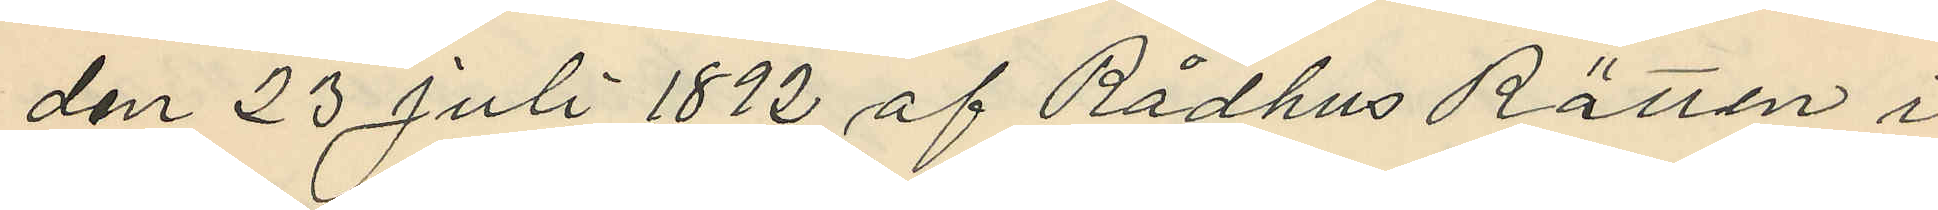den 23 Juli 1892 af Rådhus Rätten i
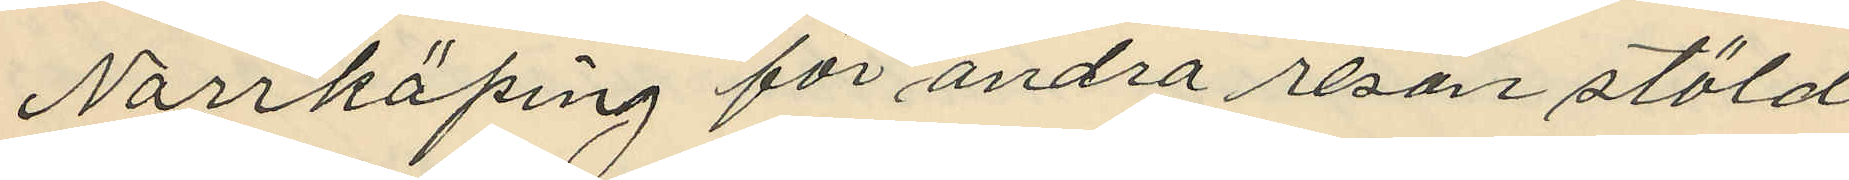Norrköping för andra resan stöld
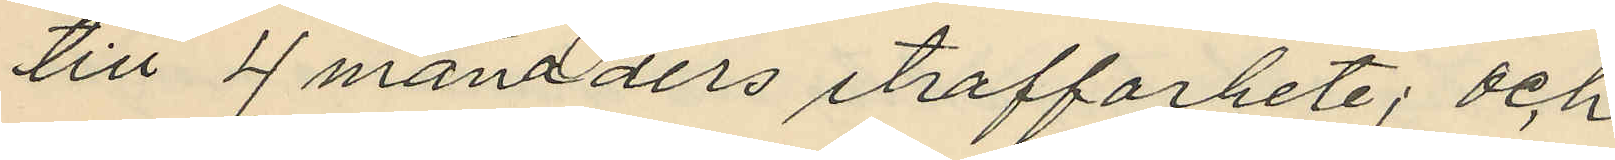till 4 månaders straffarbete; och
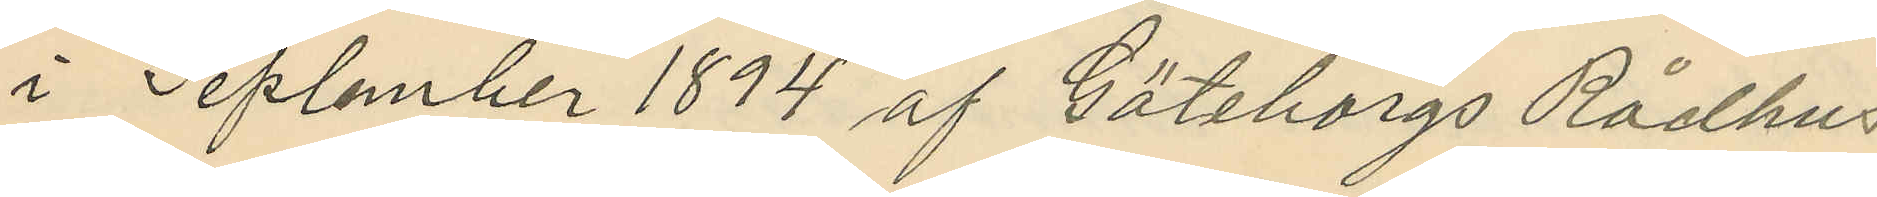i Seplember 1894 af Göteborgs Rådhus
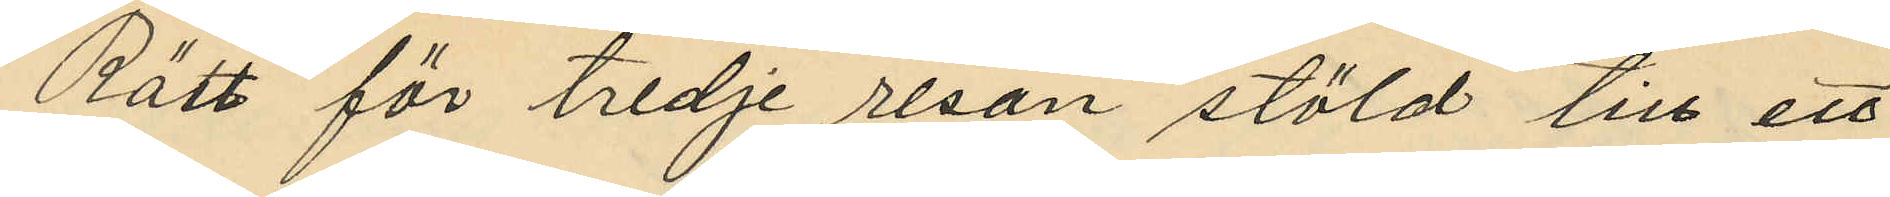Rätt för tredje resan stöld till ett
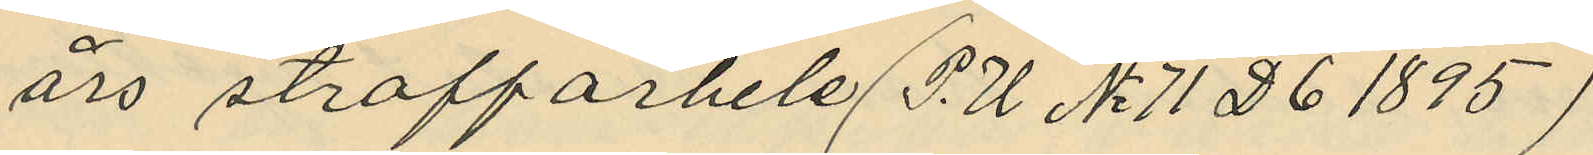 års straffarbele (P.U No 71 D 6 1895)
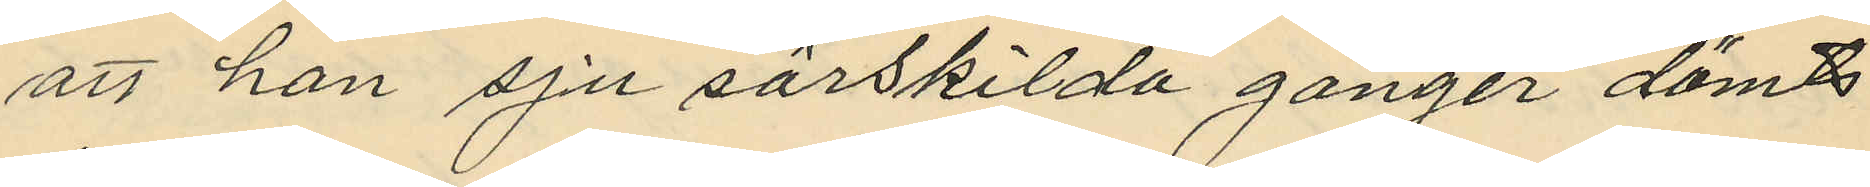att han sju särskilda gånger dömts
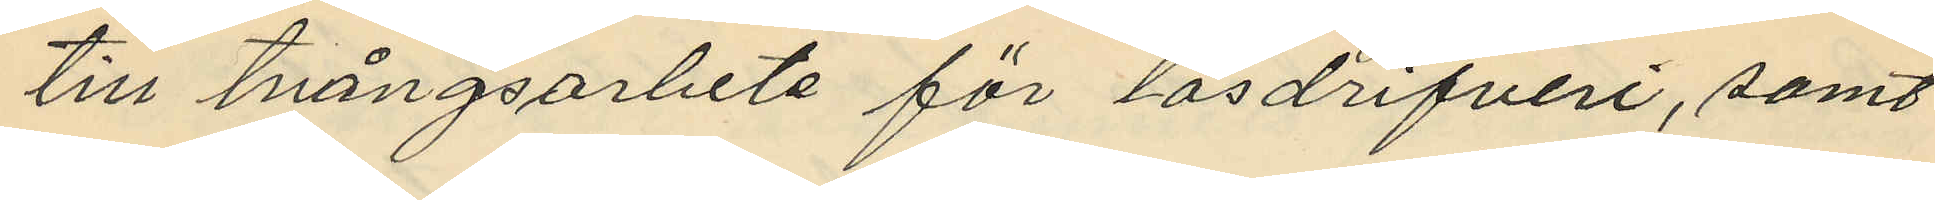till tvångsarbete för lösdrifveri, samt
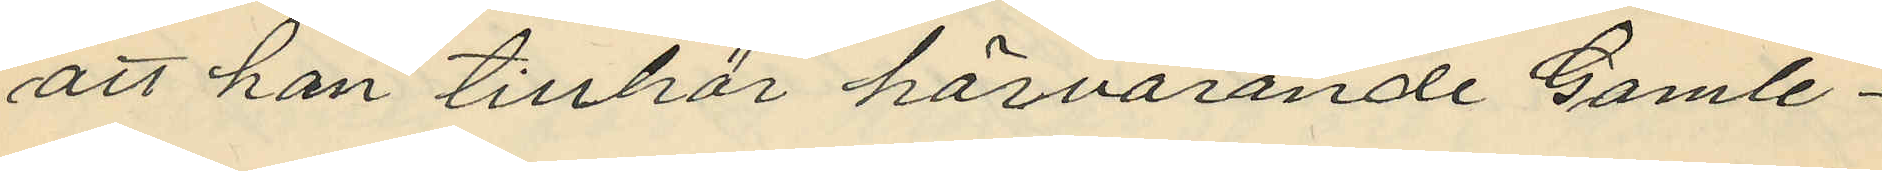att han tillhör härvarande Gamle¬
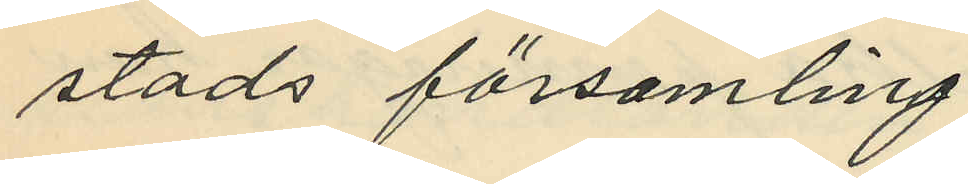stads församling.
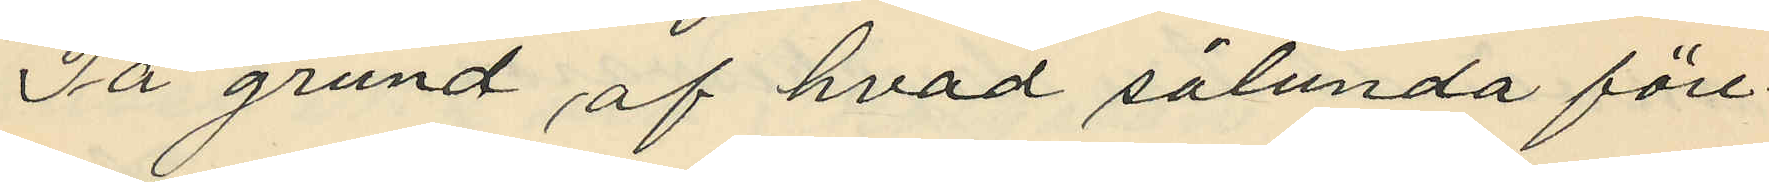På grund af hvad sålunda före¬
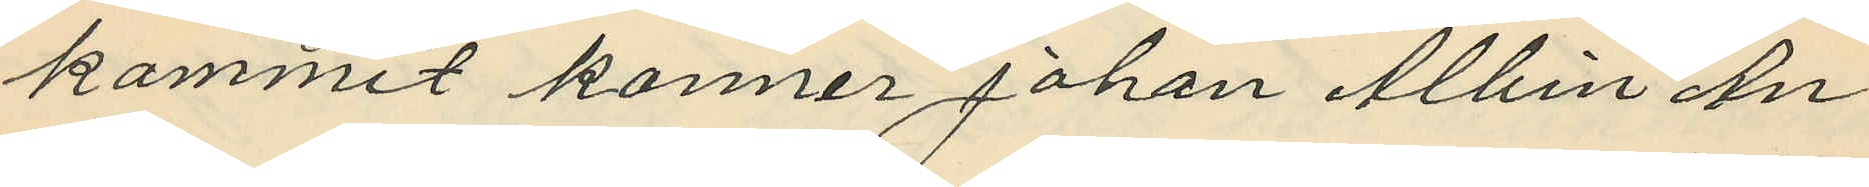kommit konner Johan Albin An¬
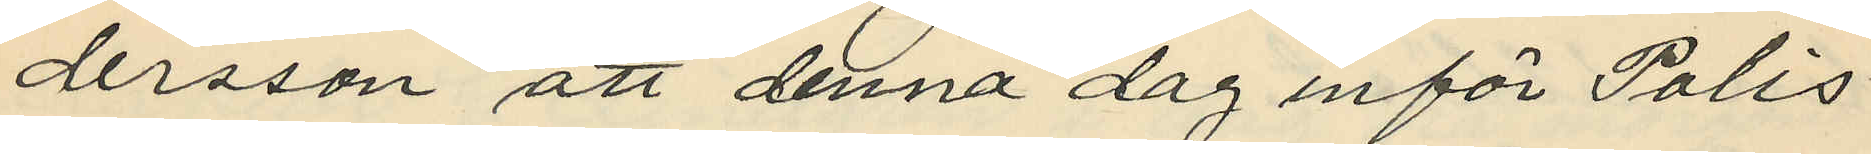dersson att denna dag inför Polis¬
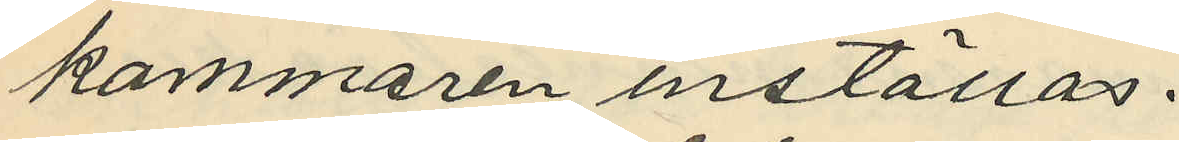kammaren inställas.
